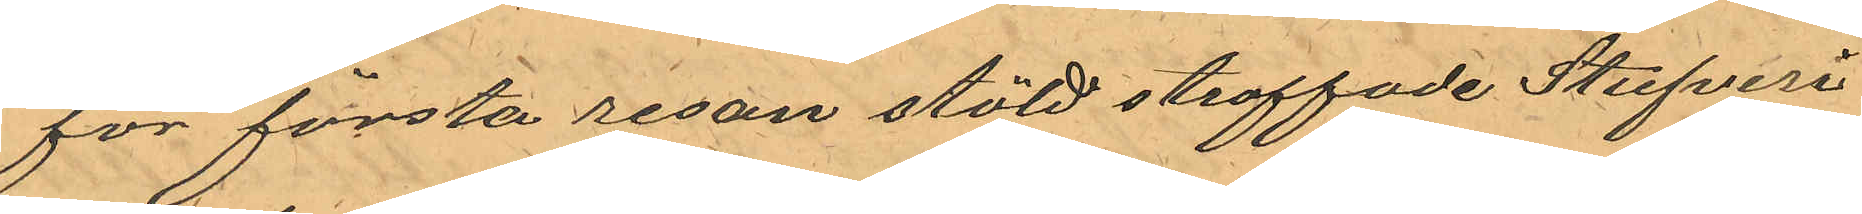för första resan stöld straffade Stufveri
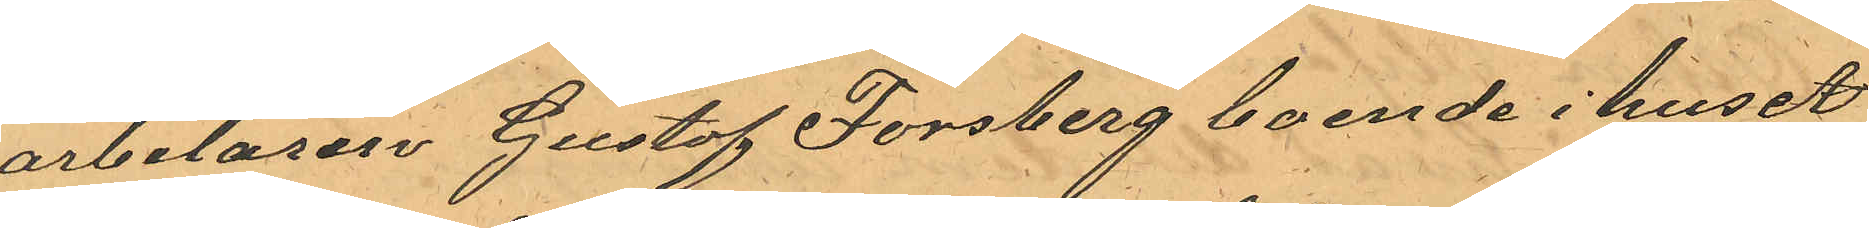arbetaren Gustaf Forsberg boende i huset
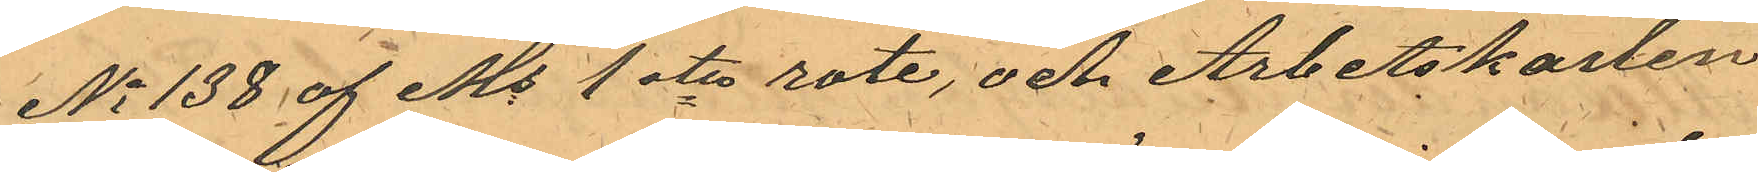No 138 af Ms 1ste rote, och Arbetskarlen
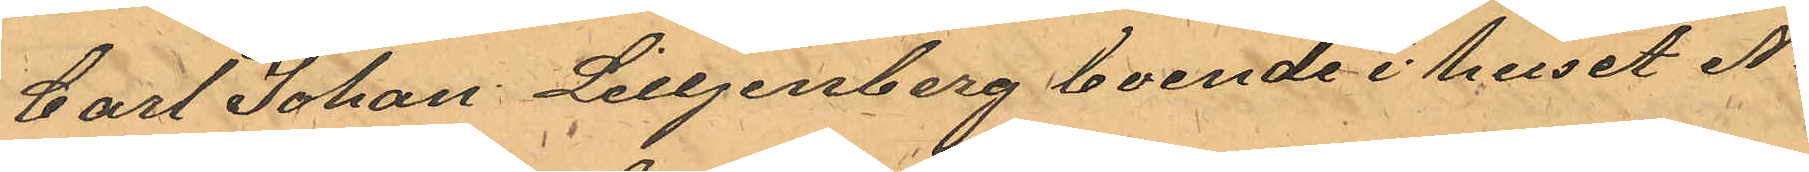Carl Johan Lilljenberg boende i huset No
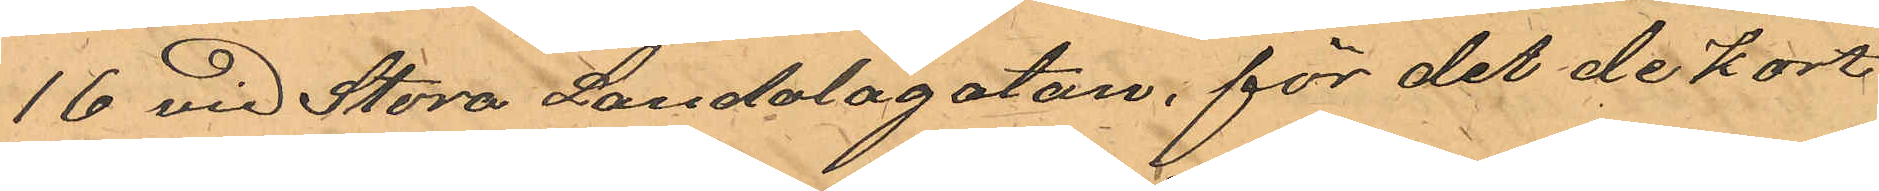16 vid Stora Landalagatan, för det de kort
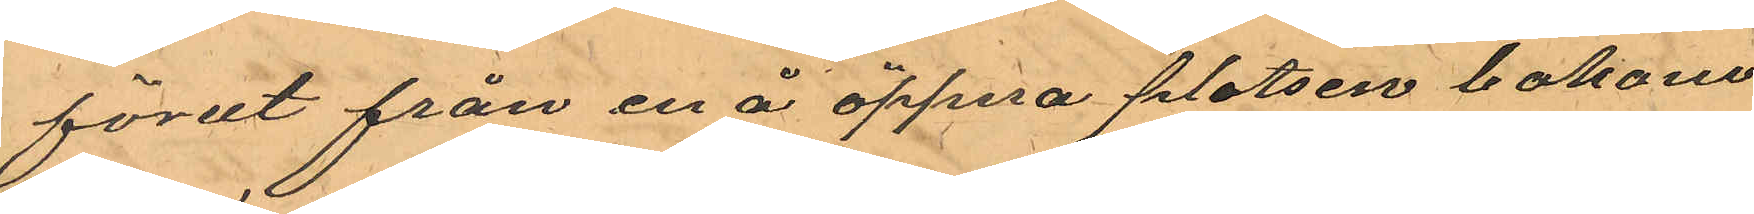förut från en å öppna platsen bakom
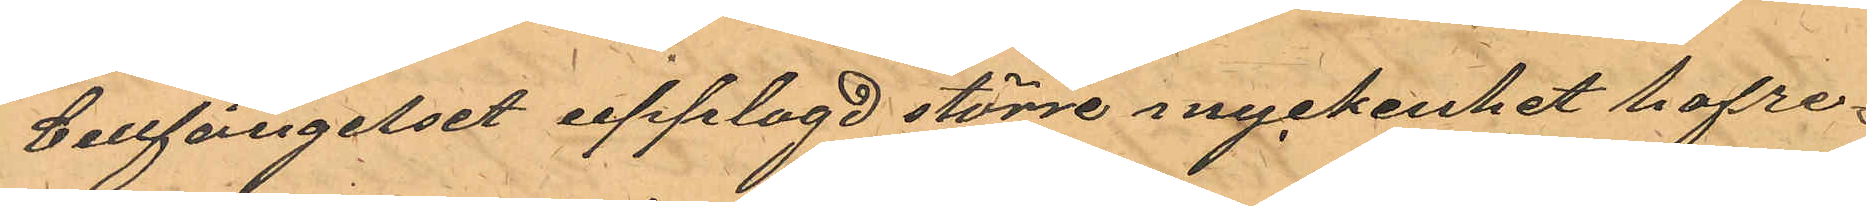Cellfängelset upplagd större myckenhet hafre¬
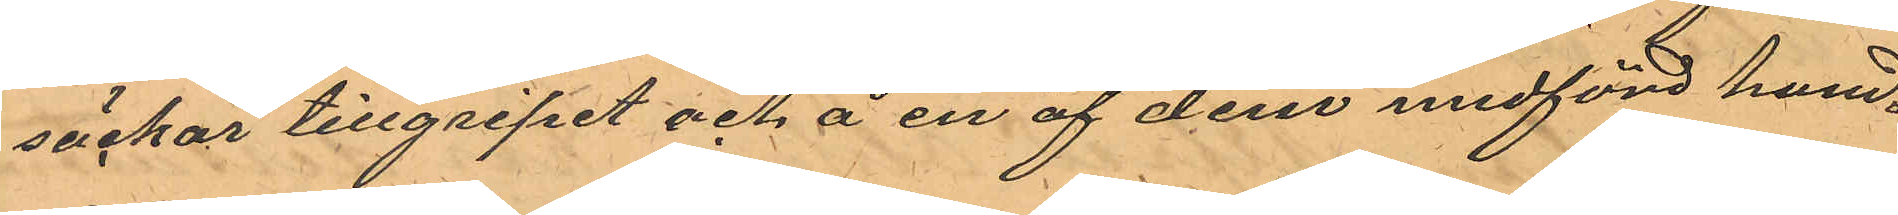säckar tillgripit och å en af dem medförd hand¬
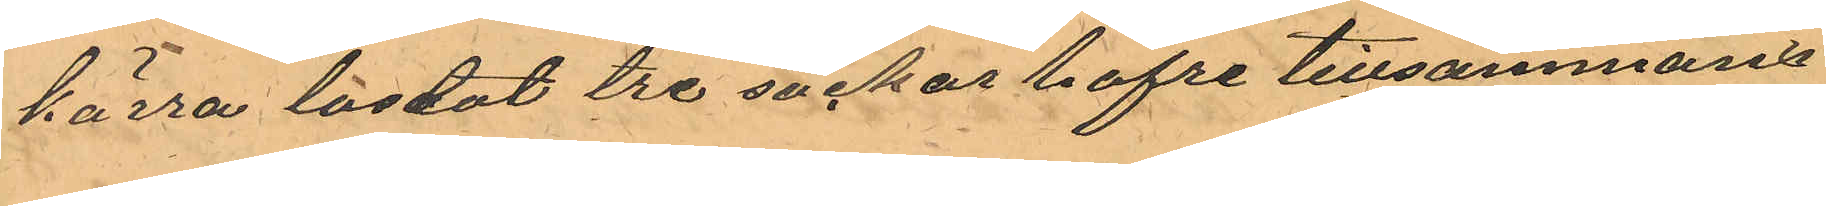kärra lastat tre säckar hafre tillsammans
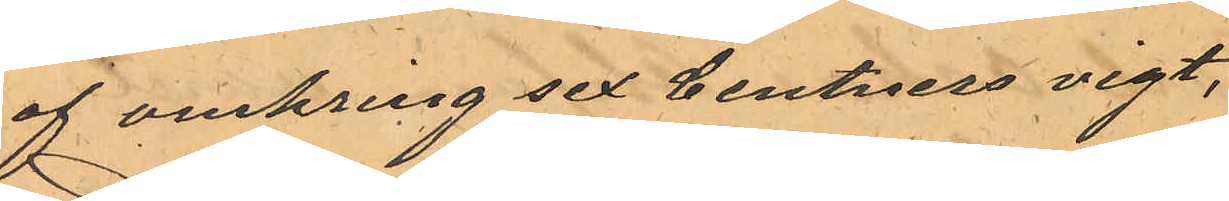af omkring sex Centners vigt,
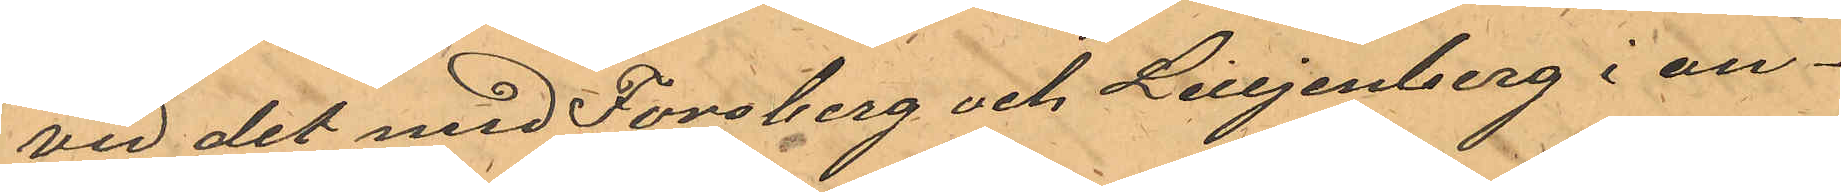Vid det med Forsberg och Lilljenberg i an¬
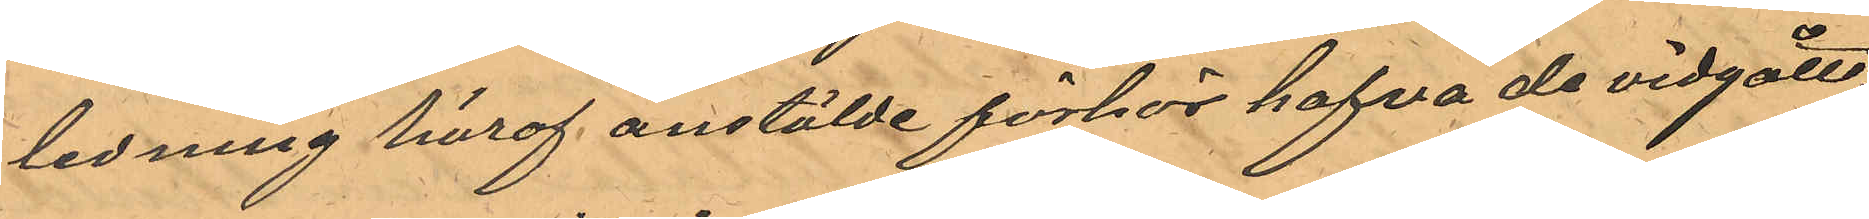ledning häraf anställde förhör hafva de vidgått,
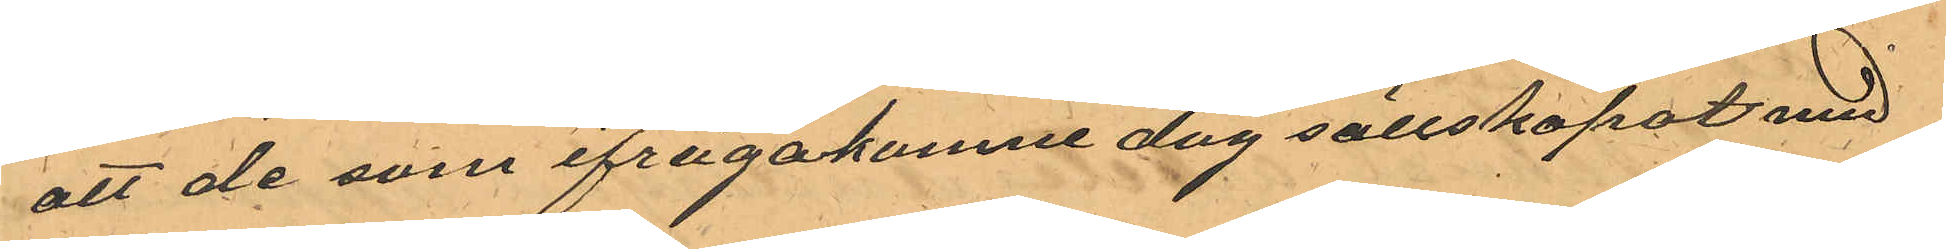att de som ifrågakomne dag sällskapat med
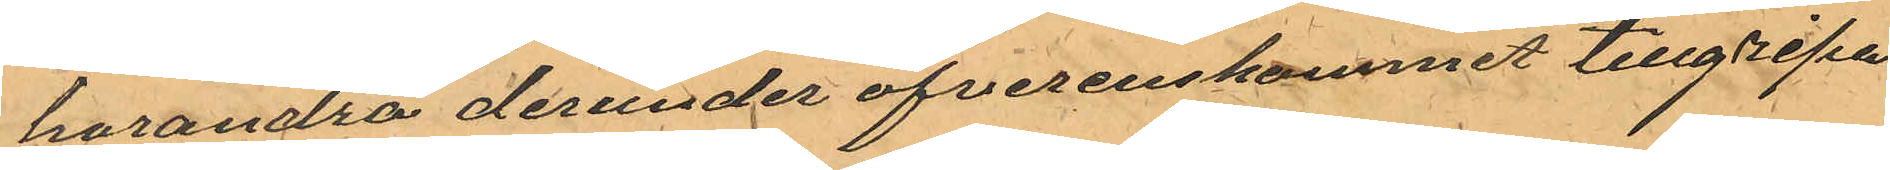hvrandra derunder öfverenskommet tillgripa
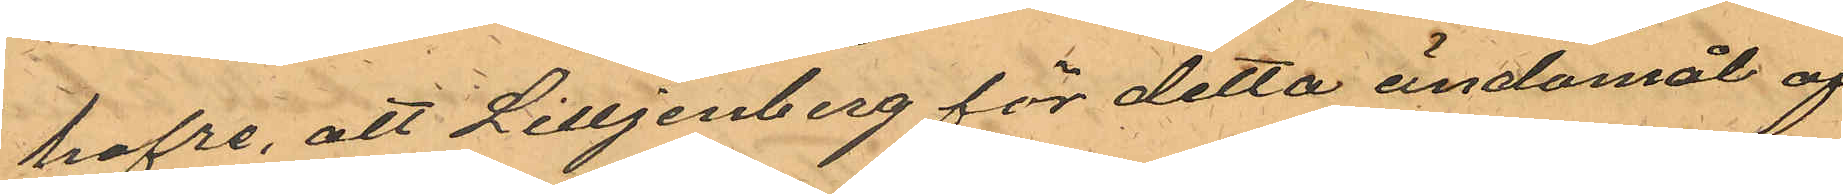hafre, att Lilljenberg för detta ändamål af
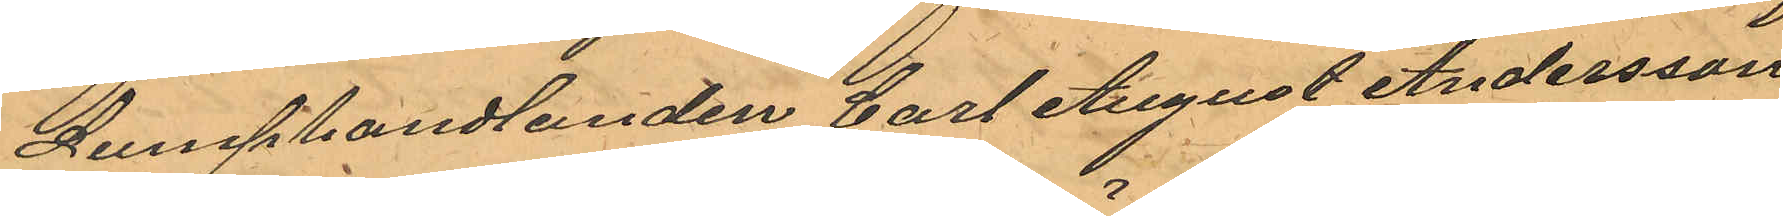Lumphandlanden Carl August Andersson
